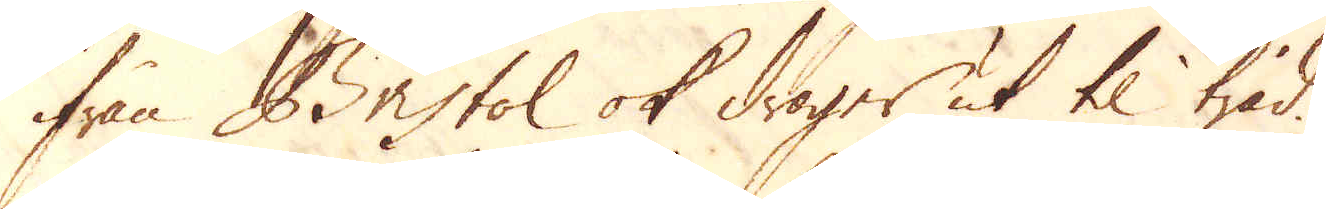ifrån Bristol ok drager ut til tråd.
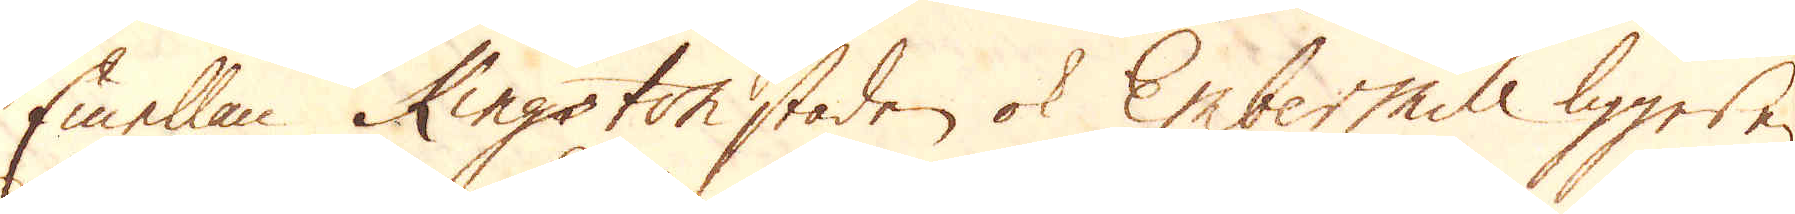Emellan Kingston staden ok Embermill ligger en
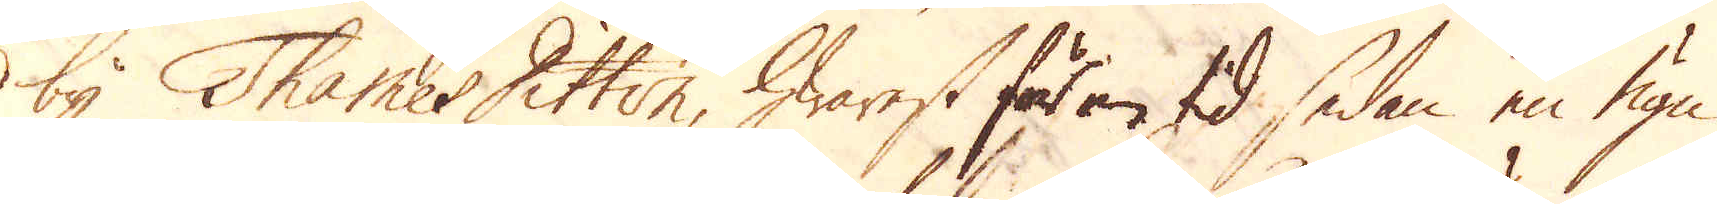by Thames Ditton, hwarest för en tid sedan en ugn
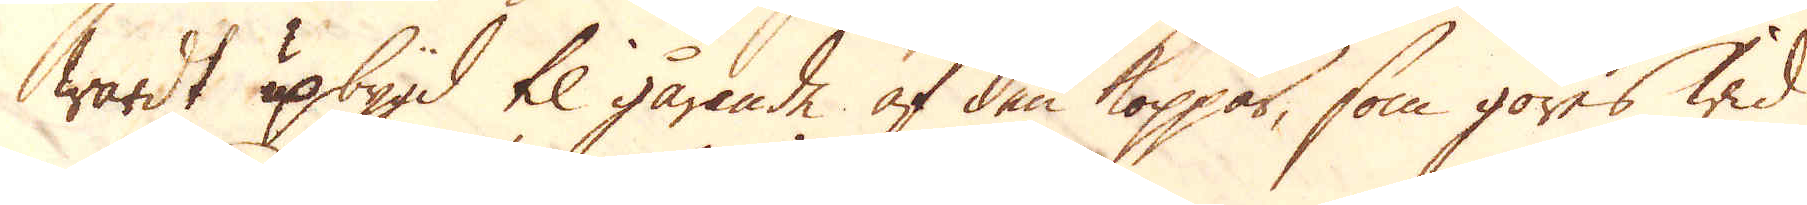wardt upbygd til gårande af den koppar, som göres wid
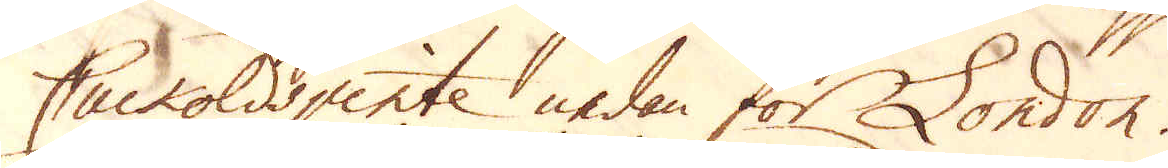Cuckoldspinte nedan för London.
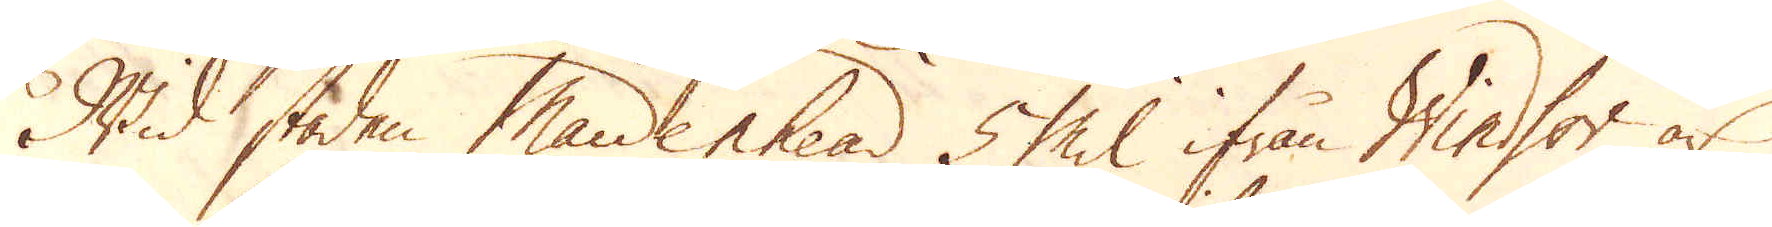Wid staden Maldenhead 5 Mil ifrån Windsor är
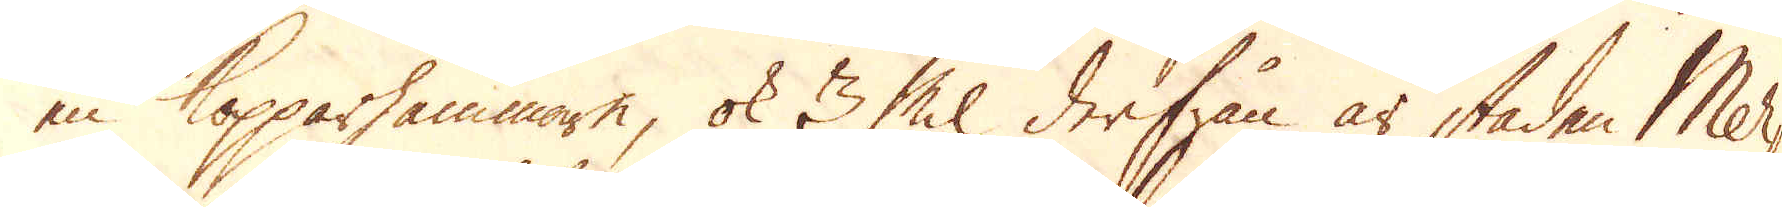en Kopparhammare, ok 3 Mil derifrån är staden Mer-
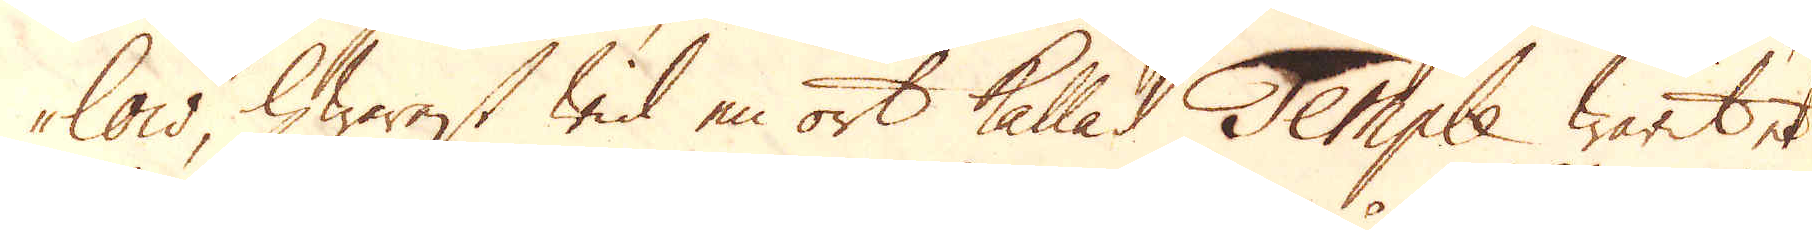low, hwarest wid en ort kallad Temple warit et
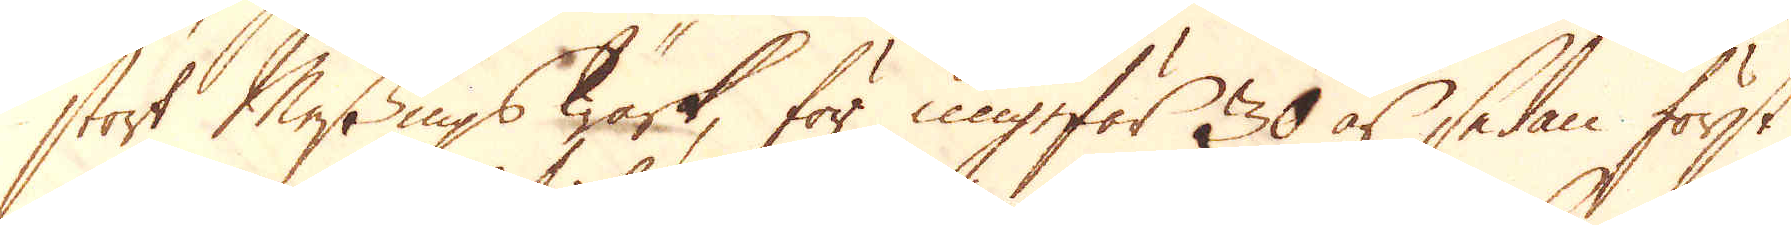stort Messings Wärk, för ungefär 30 år sedan först
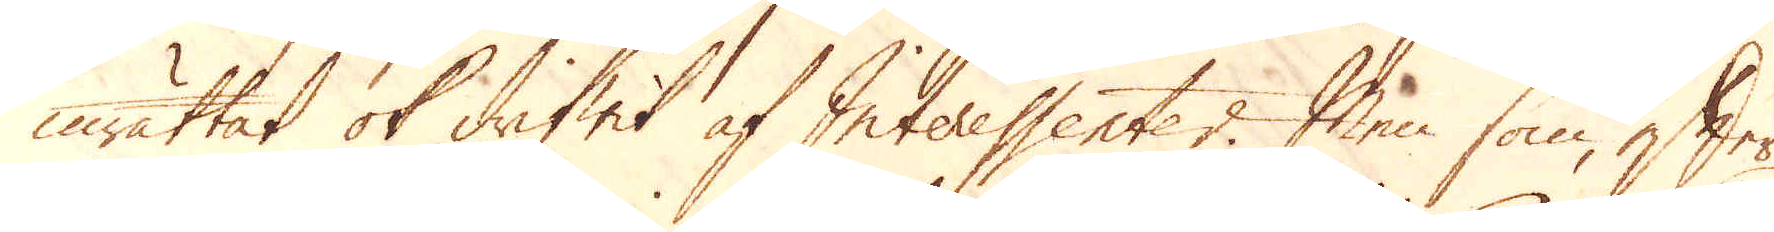inrättat ok drifwit af Interessenter. Men som efter
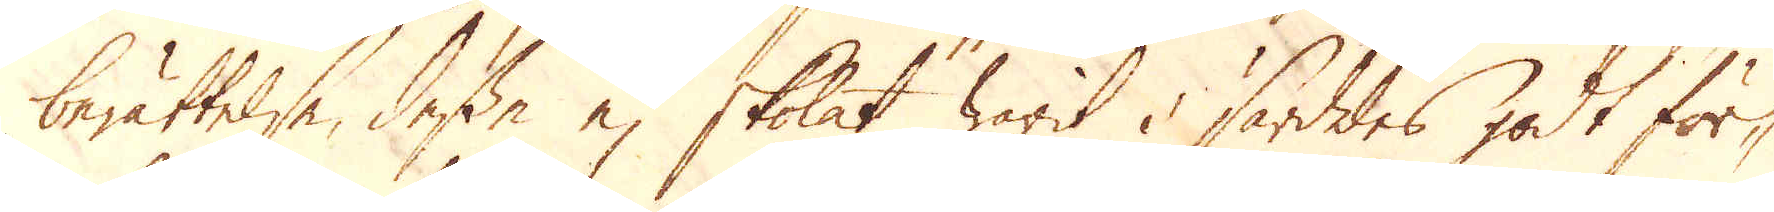berättelse, desse ej skolat warit i särdeles godt för-
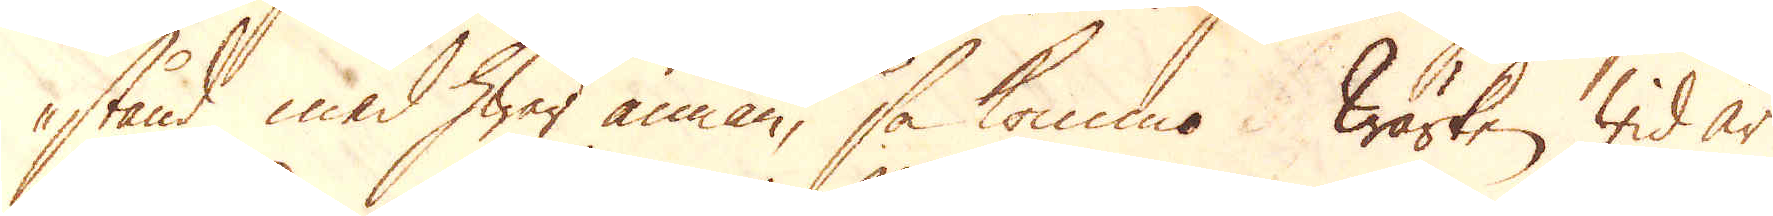stånd med hwar annan, så kommo Wärken wid år
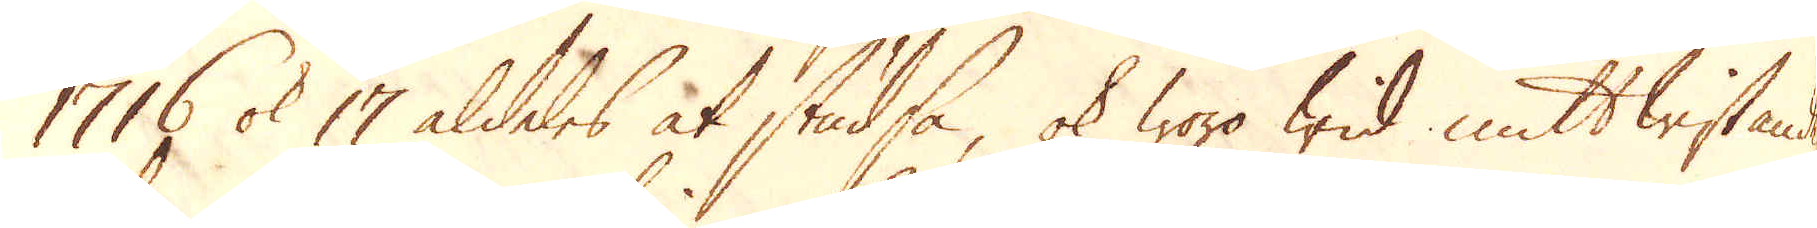1716 ok 17 aldeles at studsa, ok woro wid mitt wistande
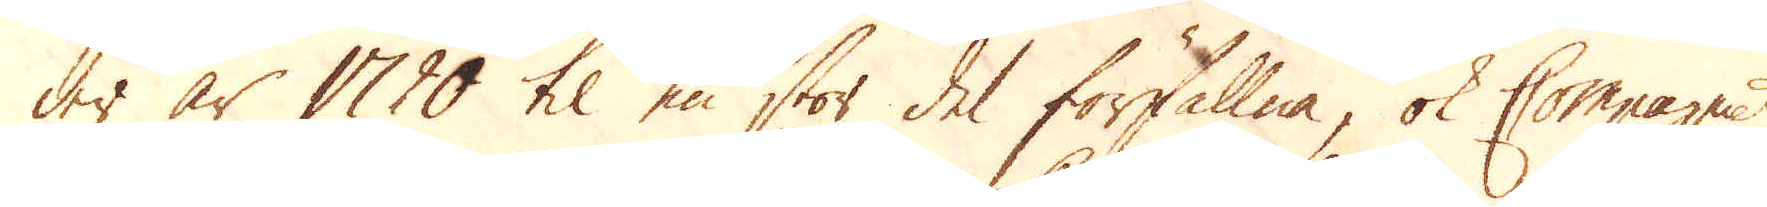der år 1720 til en stor del förfallna, ok Compagniet
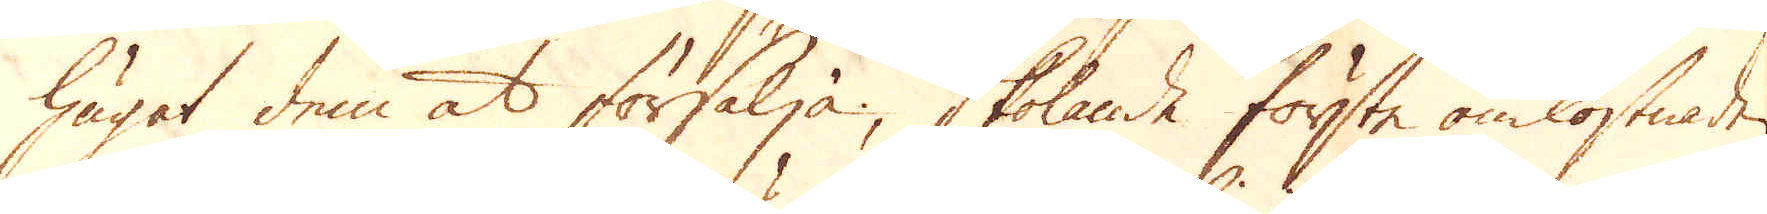hugat dem at försälja, skolande första omkostnaden
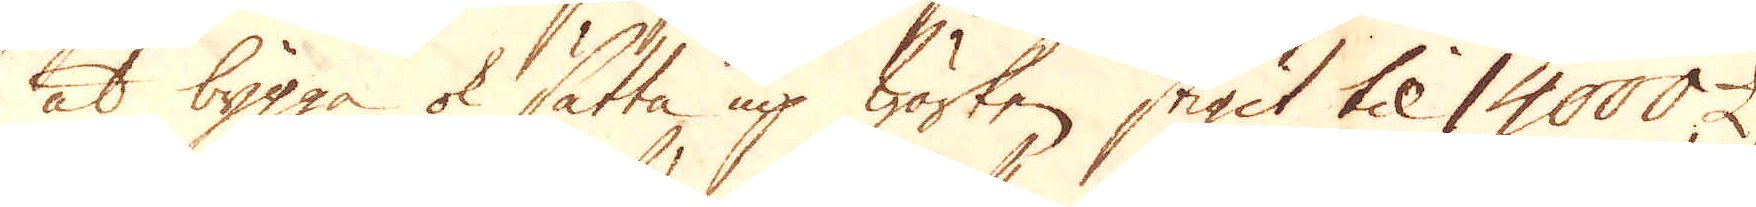at bygga ok sätta up wärken stigit til 14000 £
